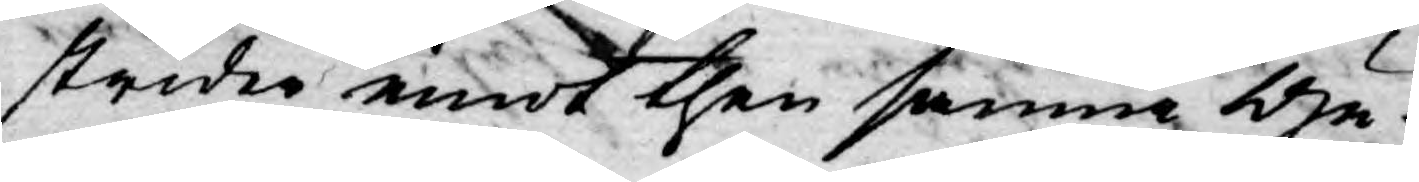strider emot then sanna Gu¬
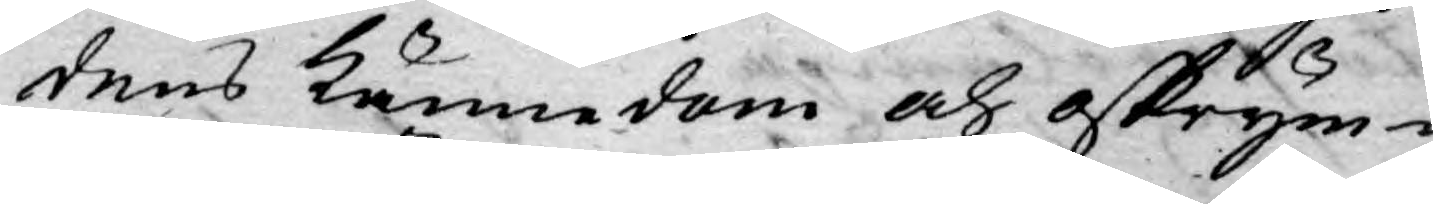dens kännedom och oskrym¬
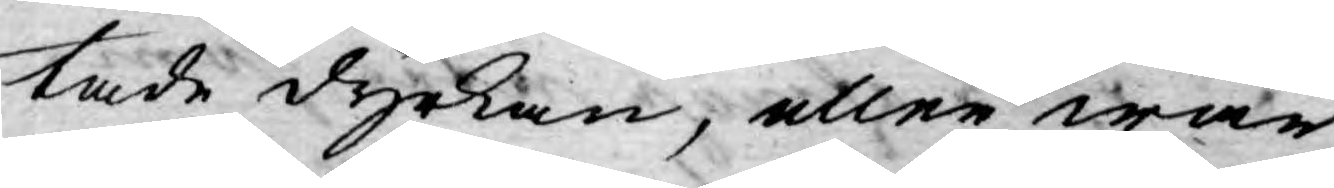tade dyrkan, eller wår
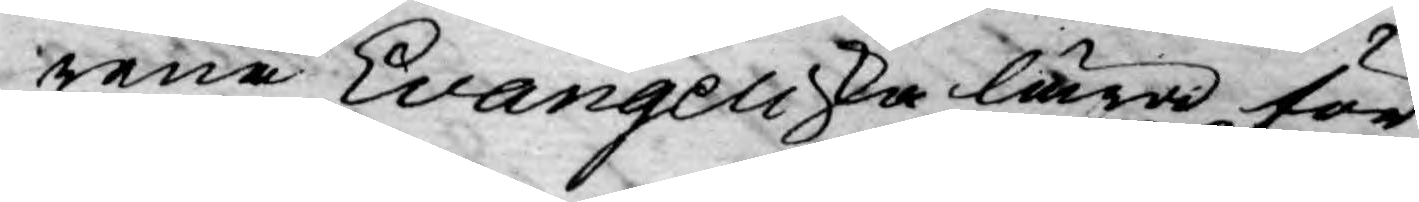rena Evangeliska lära för¬
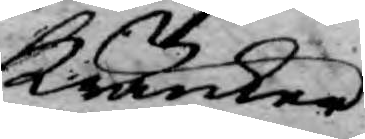kränker
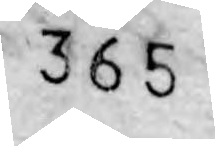365
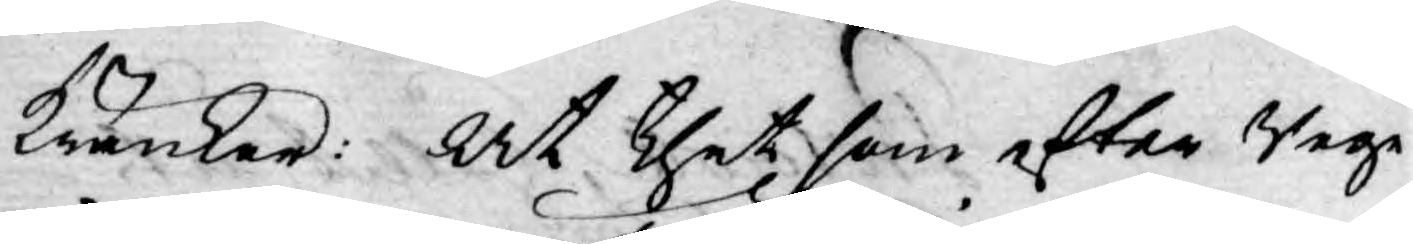kränker: At thet som efter Rege¬
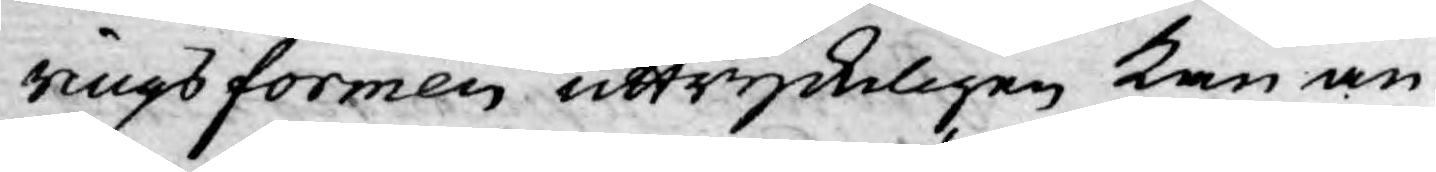ingsformen uttryckligen kan an¬
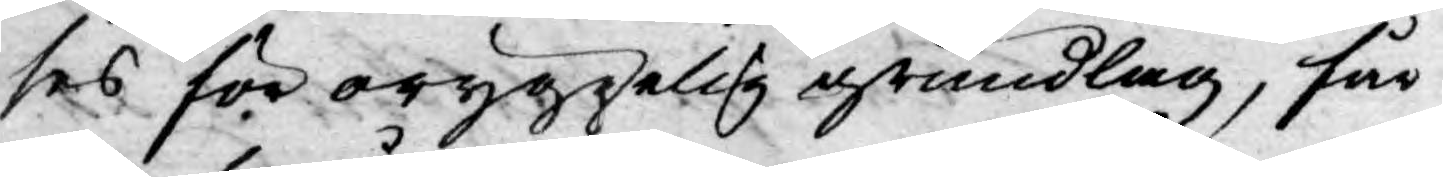ses för oryggelig grundlag, får
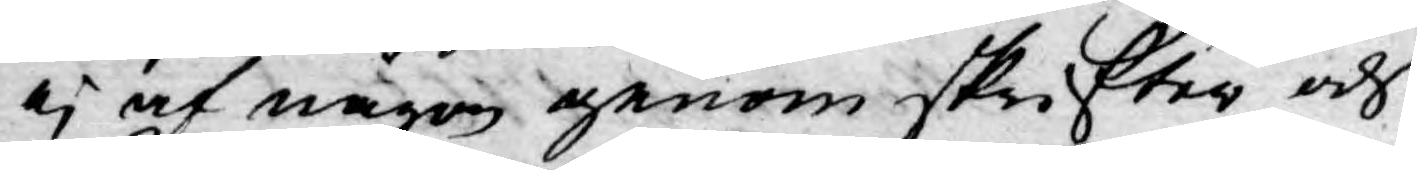ej af någon genom skrifter och
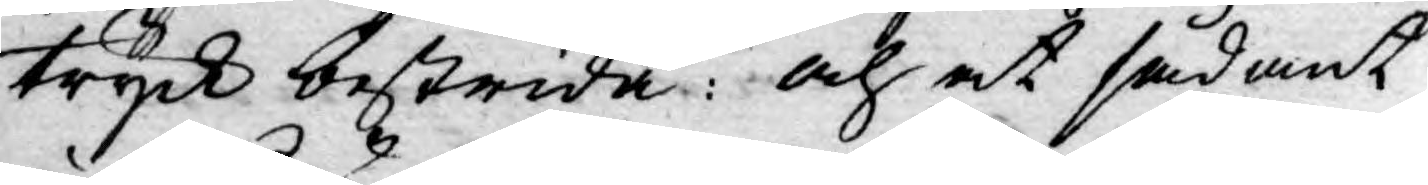tryck bestrida: och at sådant
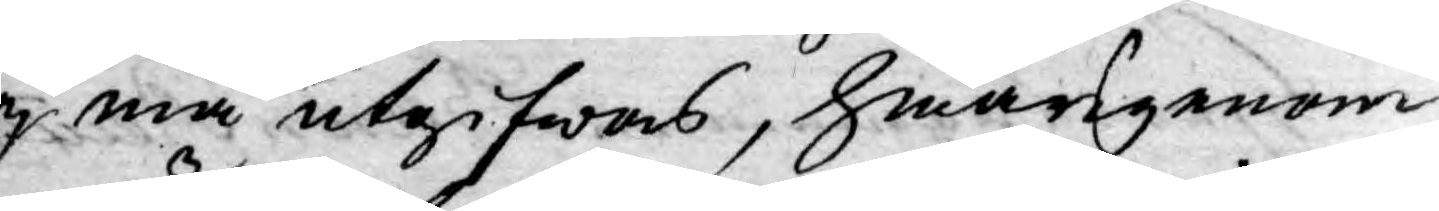ej må utgifwas, hwarigenom
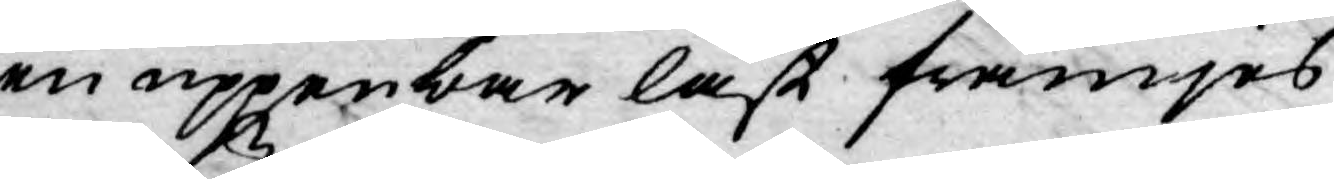en uppenbar last främjes
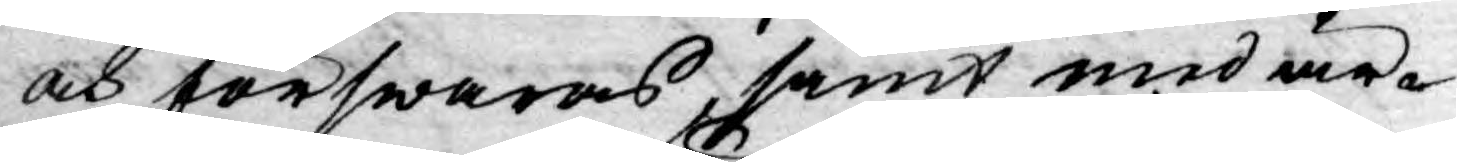och förswaras, samt med är-
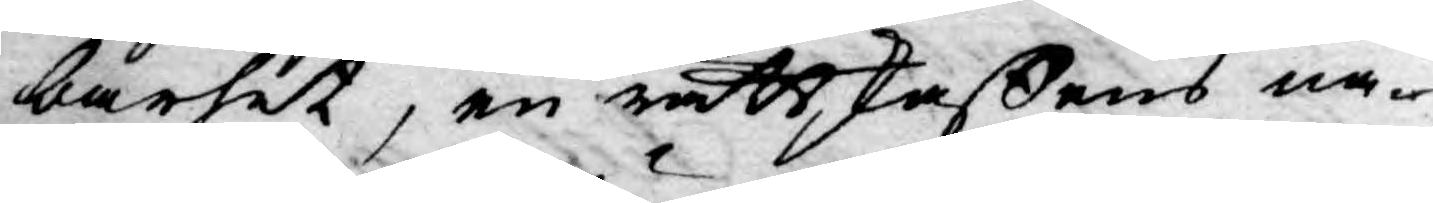barhet, en rättskaffens na¬
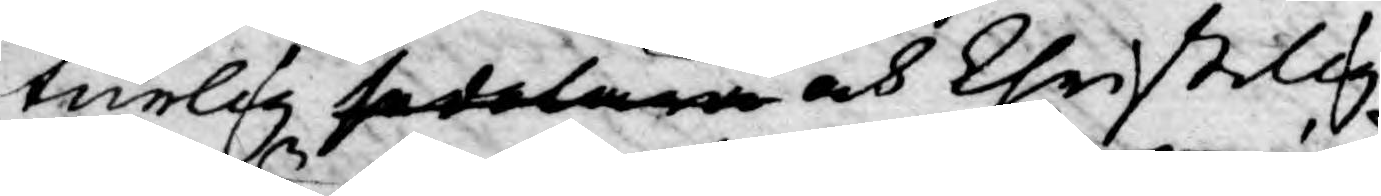turlig sedelära och Christilig
